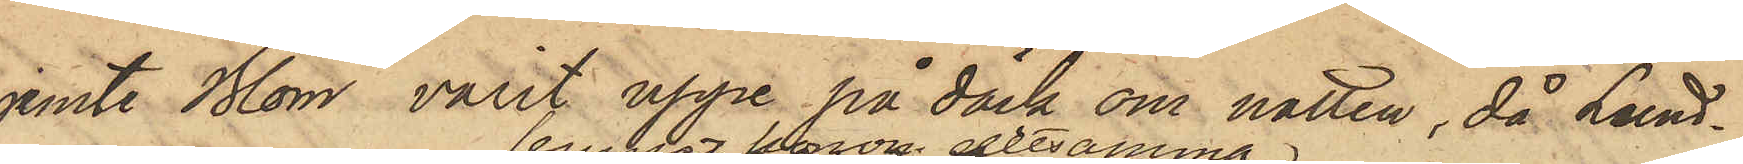jemte Blom varit uppe på däck om natten, då Lund¬
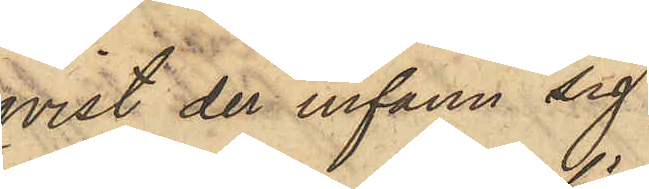qvist der infann sig,
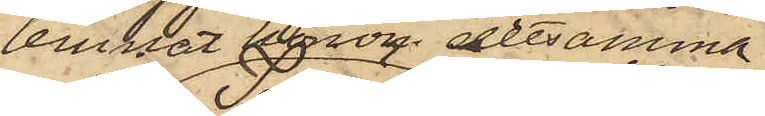lemnat honom detsamma;
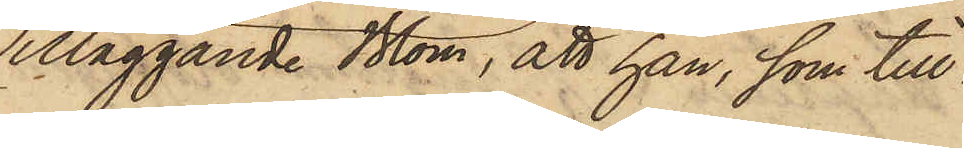Tilläggande Blom, att han, som till¬
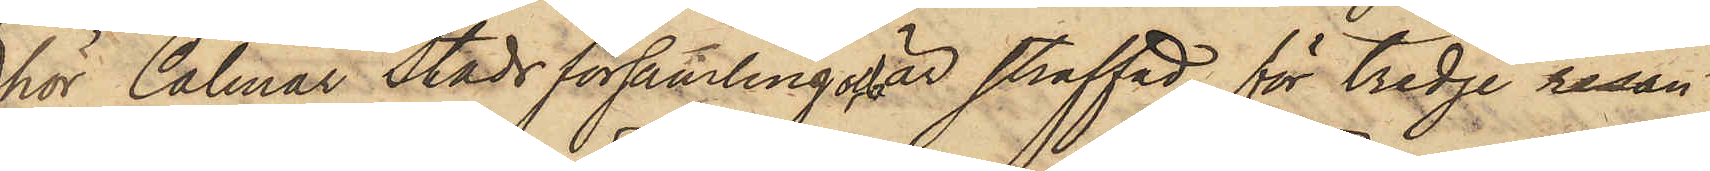hör Calmar Stads församling och är straffad för tredje resan
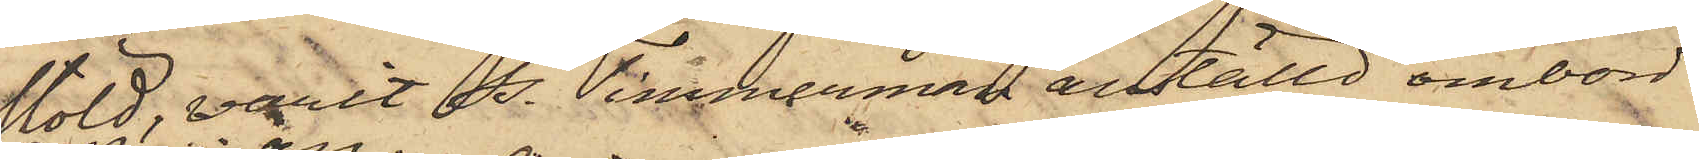stöld, varit ss. Timmerman anställd ombord
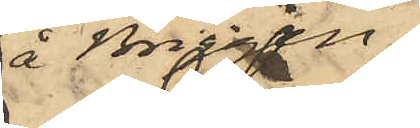å Briggen.
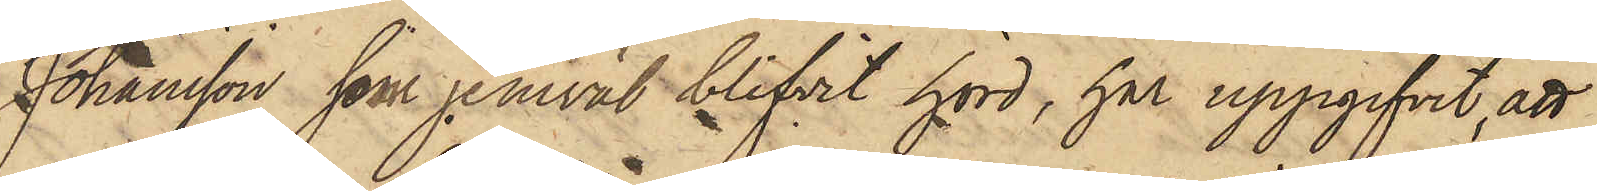Johansson, som jemväl blifvit hörd, har uppgifvit, att
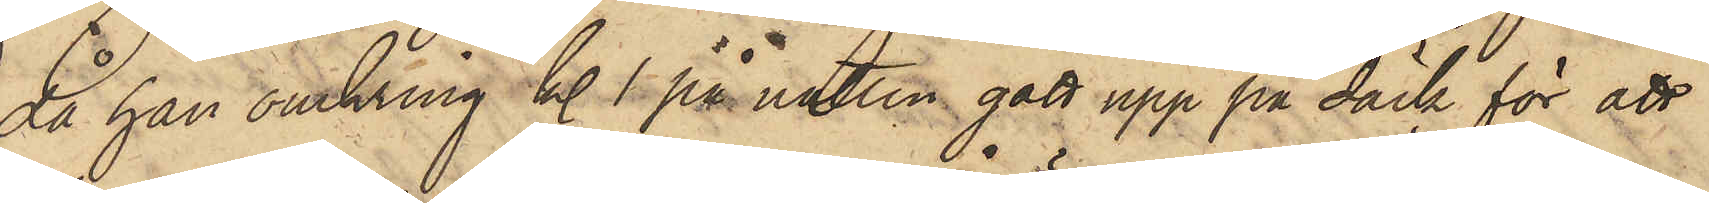då han omkring kl. 1 på natten gått upp på däck för att
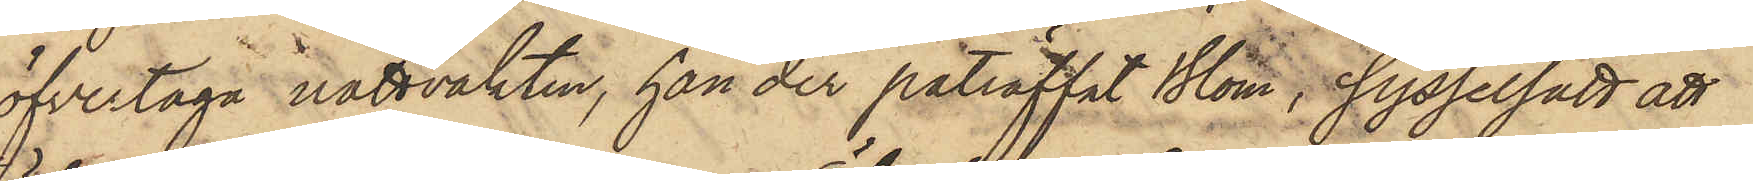öfvertaga nattvakten, han der påträffat Blom, sysselsatt att
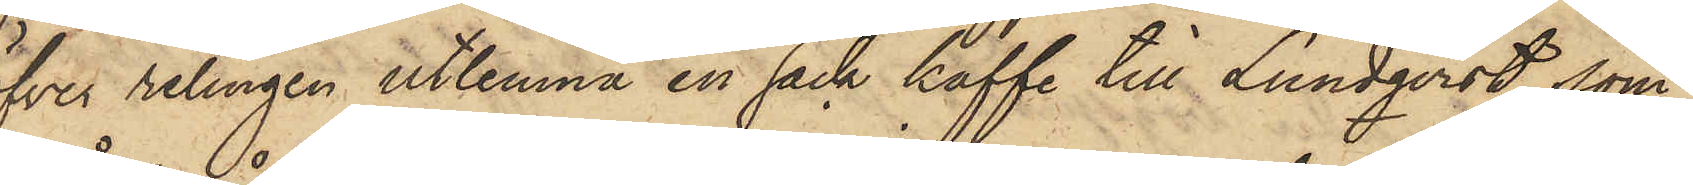öfver relingen utlemna en säck kaffe till Lundqvist, som
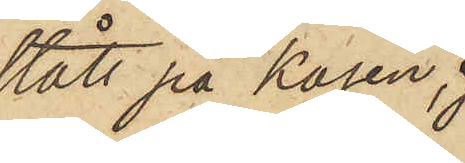stått på kajen;
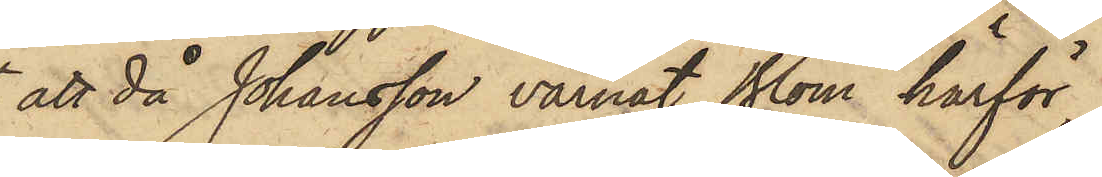att då Johansson varnat Blom härför,
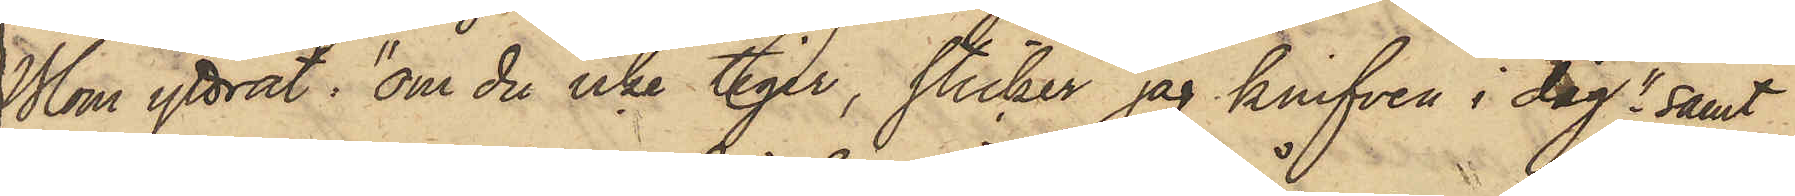Blom yttrat: "om du icke tiger, sticker jag knifven i dig"; samt
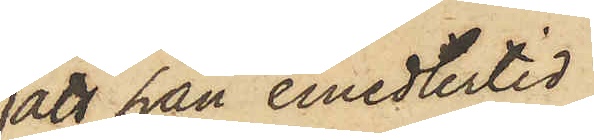att han emedlertid
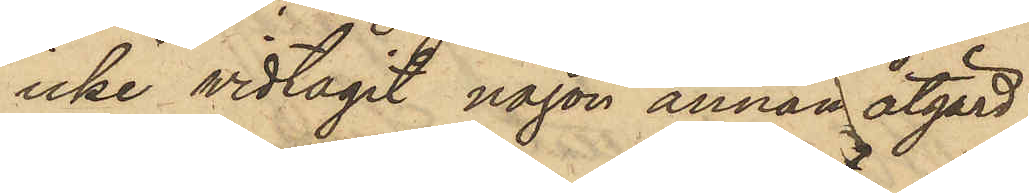icke vidtagit någon annan åtgärd
